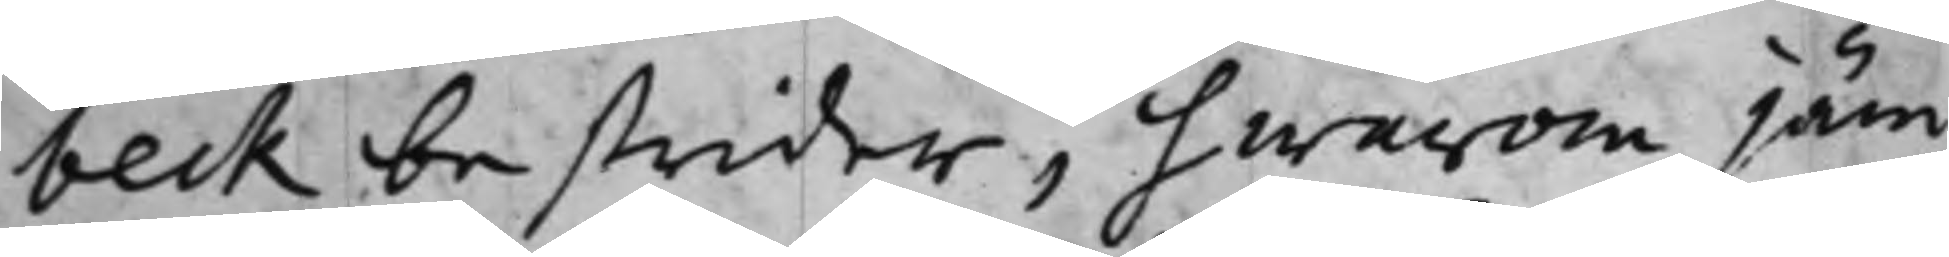beck bestrider, hwarom jäm¬
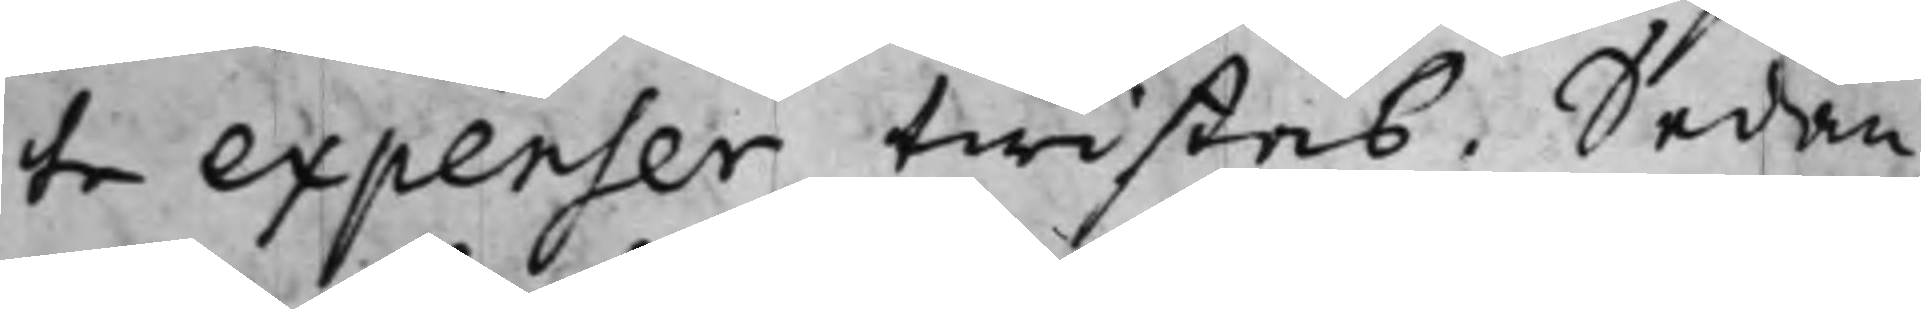te expenser twistas. Sedan
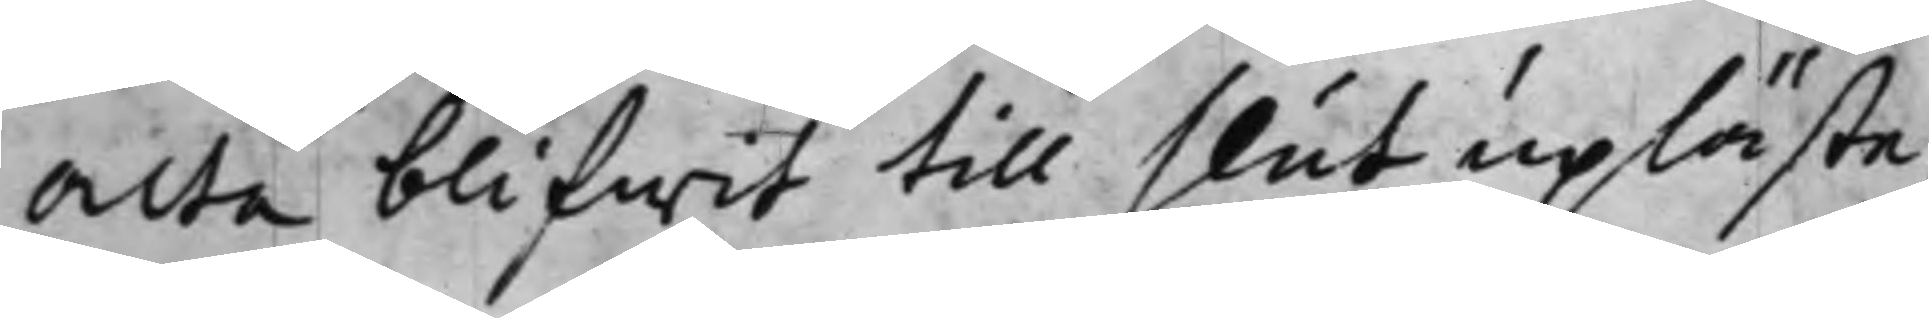Acta blifwit till slut upläste,
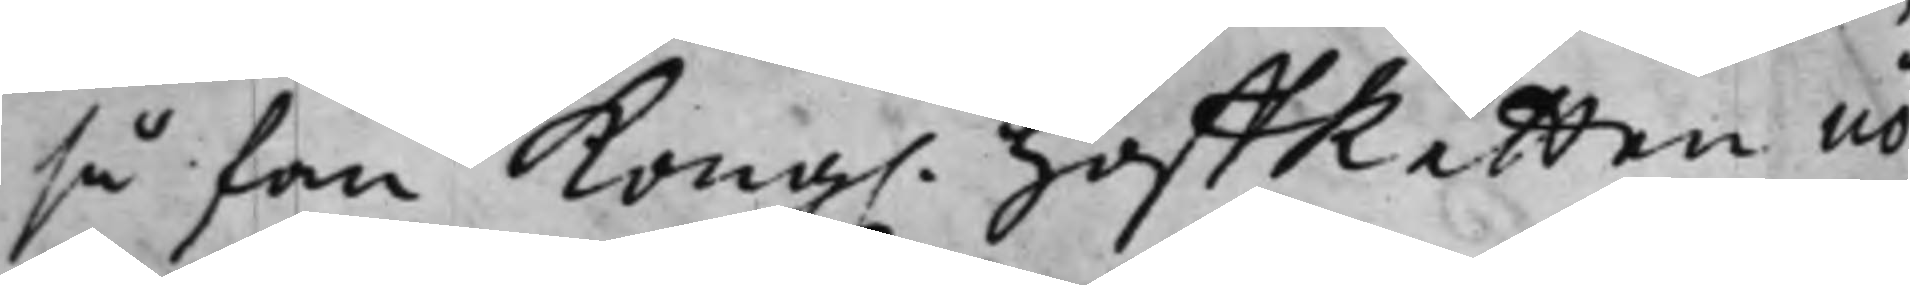så fan Kong. HoffRätten nö¬
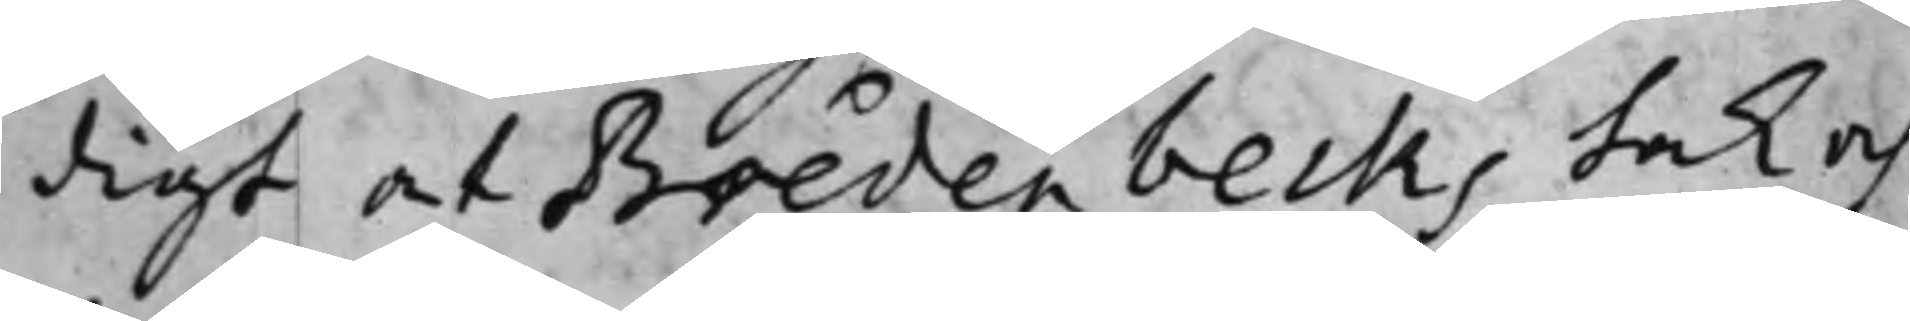digt at Bredenbecks tak och
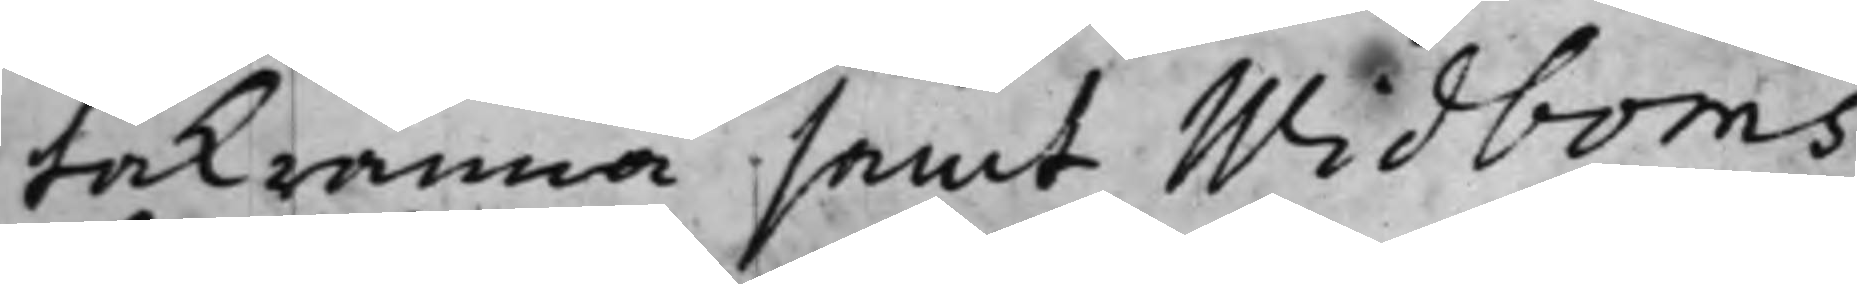takränna samt Widboms
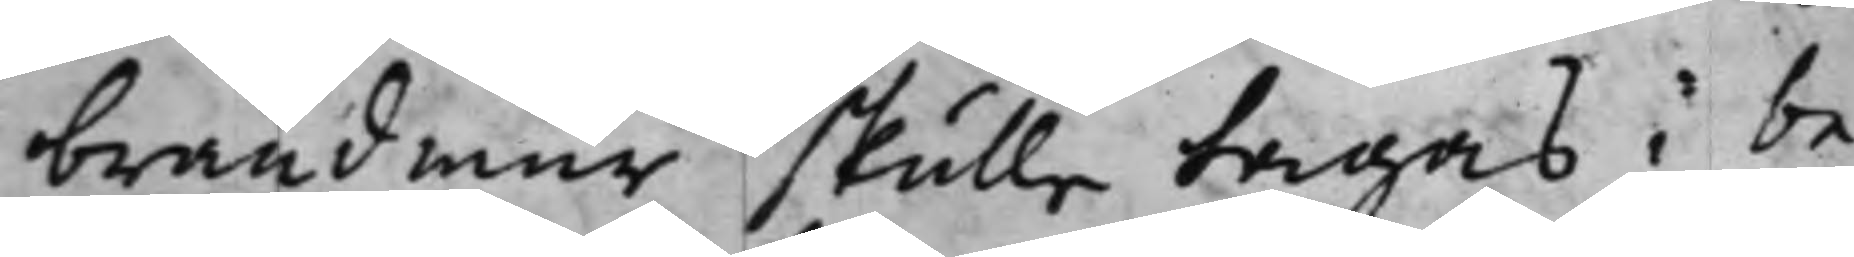brandmur skulle tagas i be¬
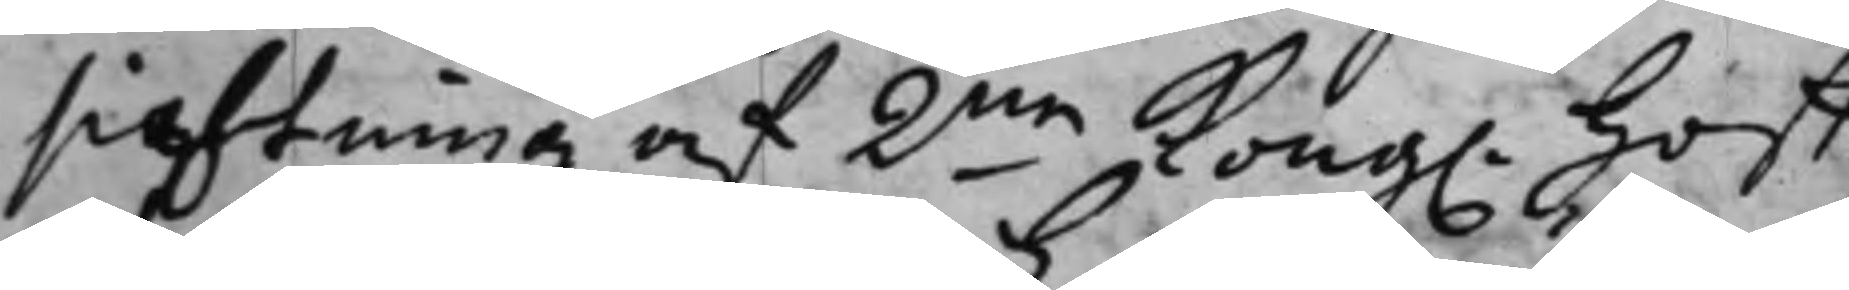sichtning af 2ne Kong. Hoff¬
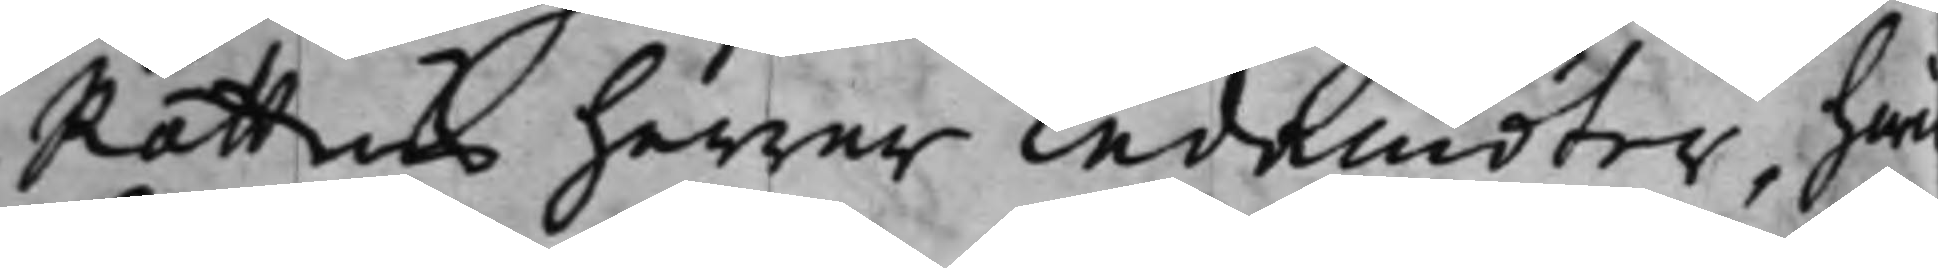Rättens herrar Ledamöter, hwil¬
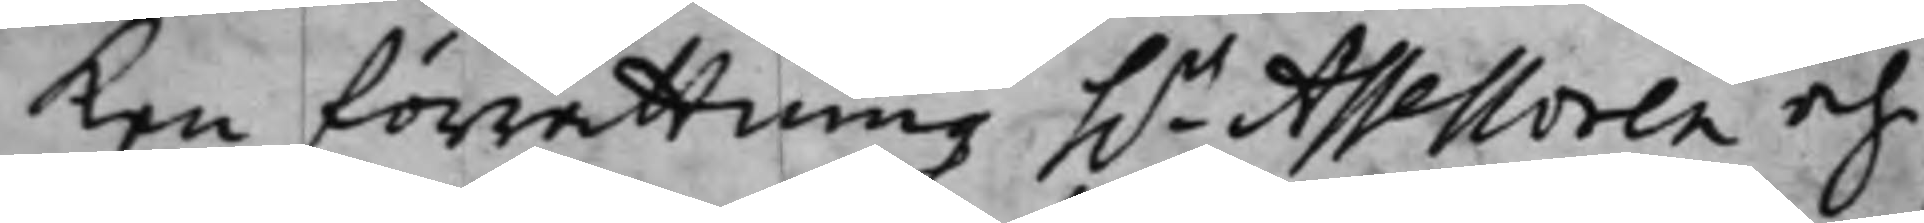ken förrättning h.r Assessoren och
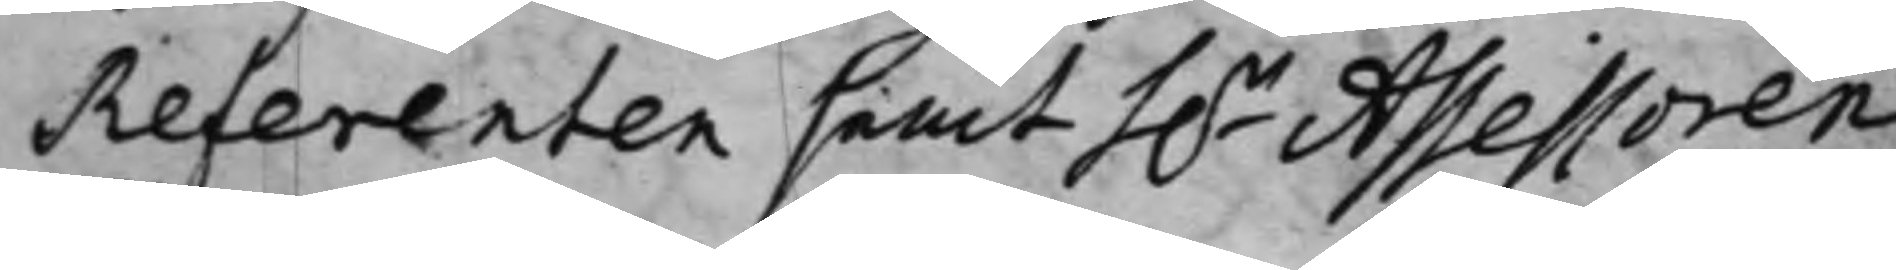Referenten samt h.r Assessoren
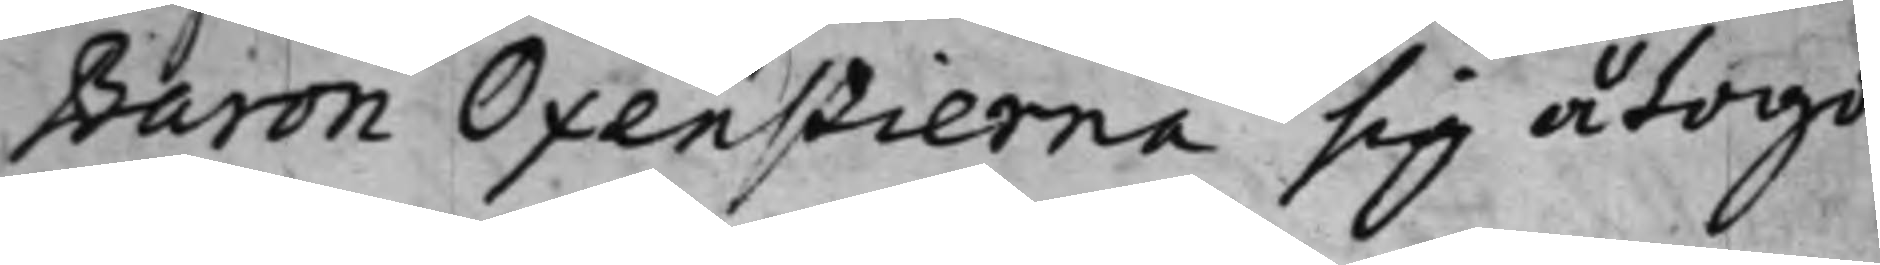Baron Oxenstierna sig åtogo.
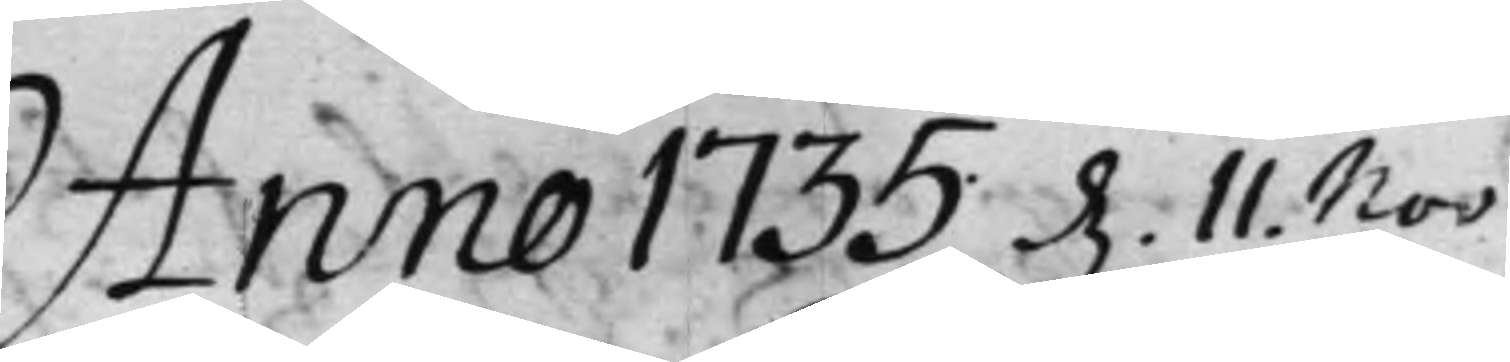Anno 1735 d. 11. Nov:
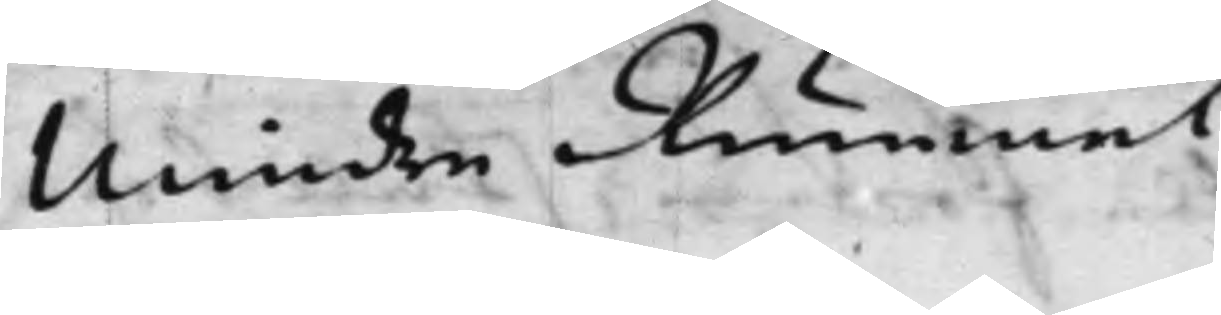Mindre Rummet.
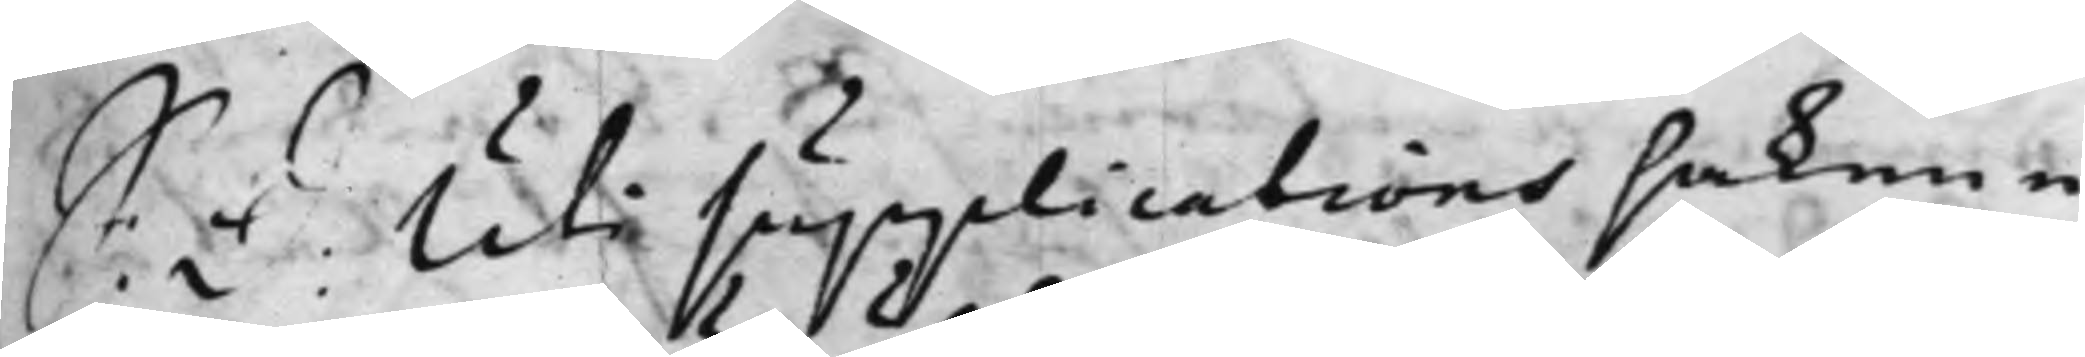S: d: Uti supplications saken e¬
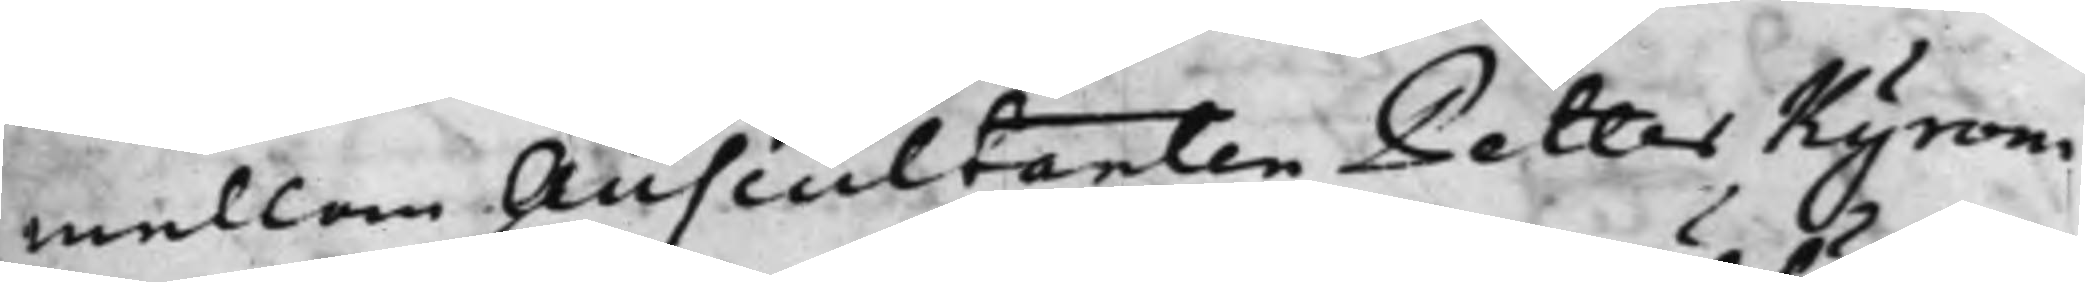mellan Auscultanten Petter Kyroni,
